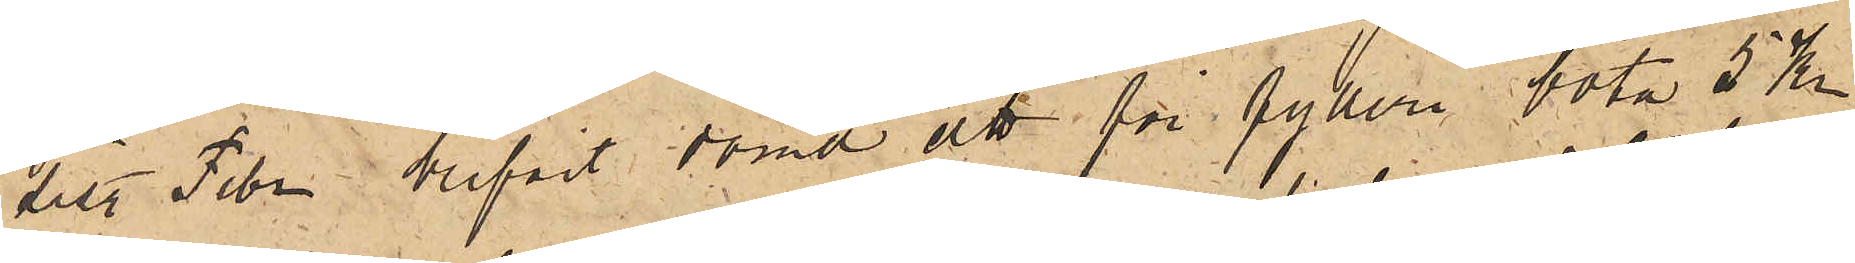sist. Febr blifvit dömd att för fylleri böta 5 Kr
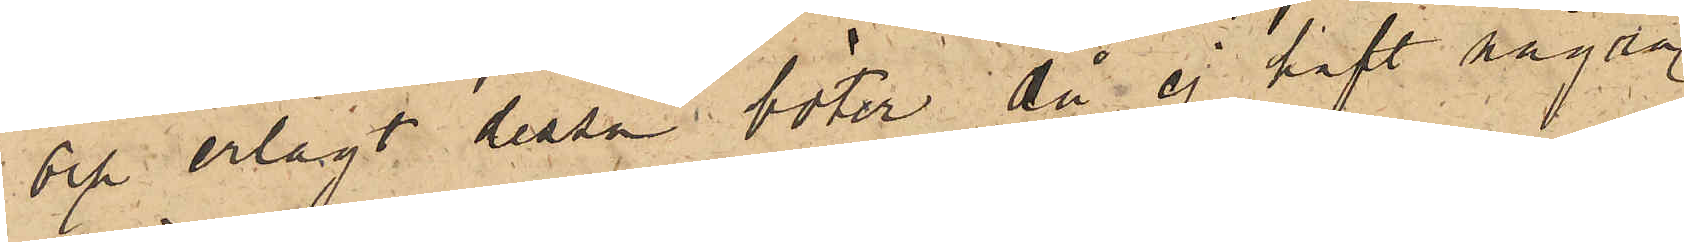och erlagt dessa böter, då ej haft några
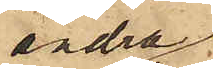andra
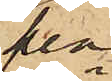pen¬
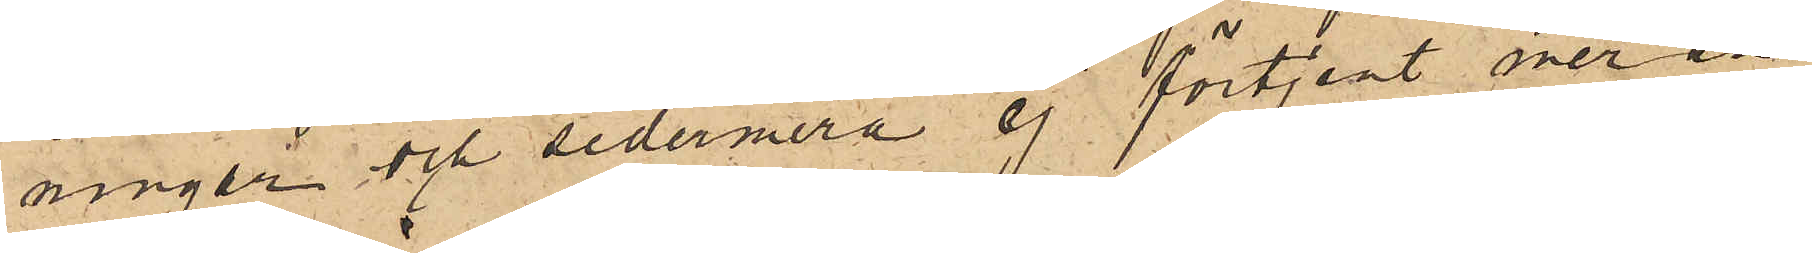ningar och sedermera ej förtjent mer än
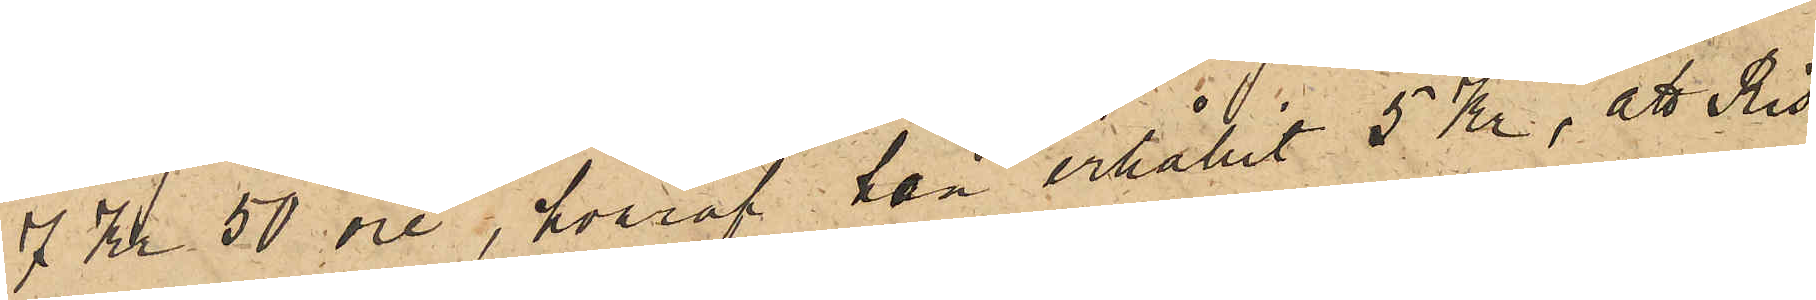7 Kr 50 öre, hvaraf hon erhållit 5 Kr; att Ris
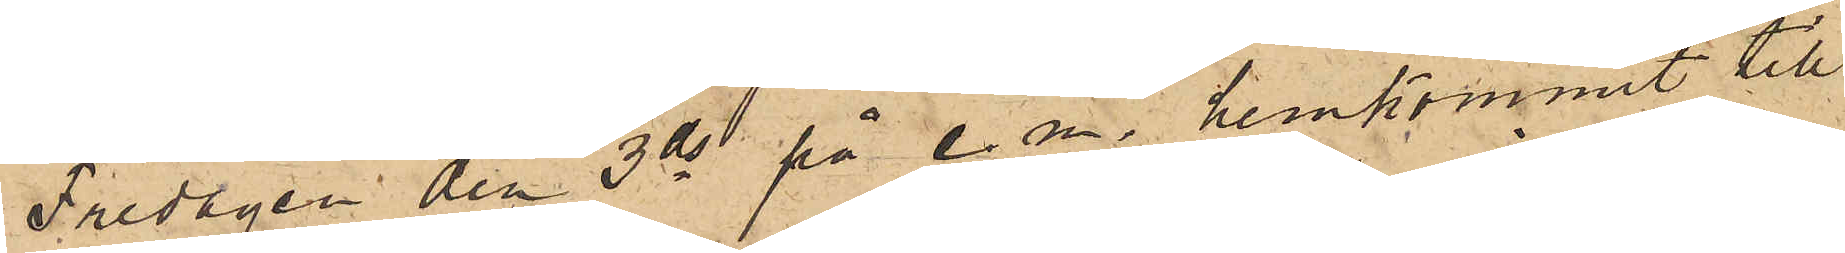Fredagen den 3 ds på e. m. hemkommit till
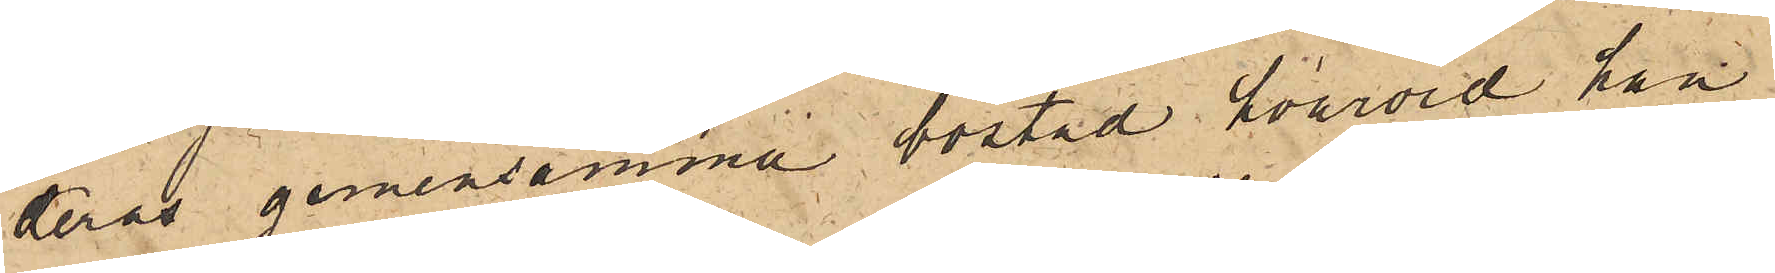deras gemensamma bostad hvarvid han
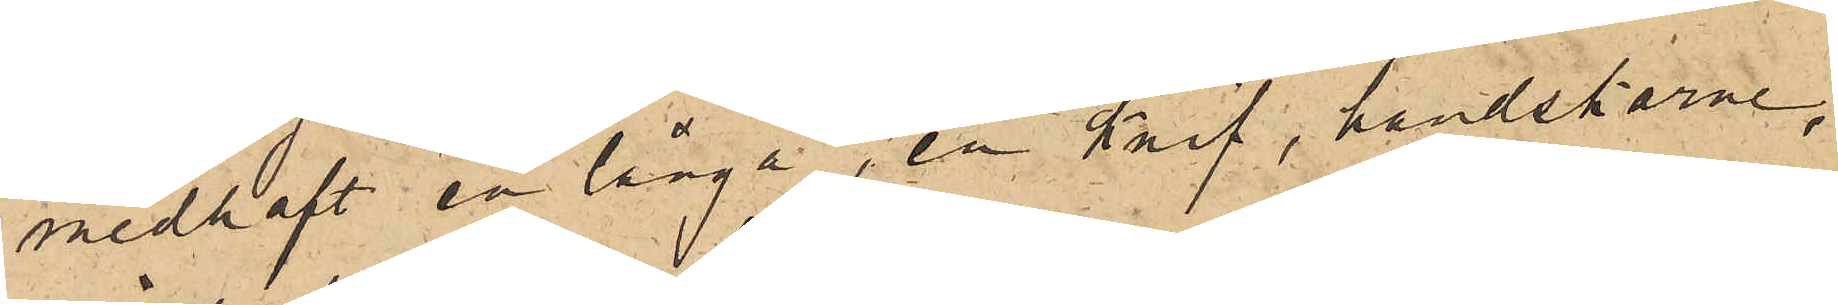medhaft en långa, en knif, handskarne,
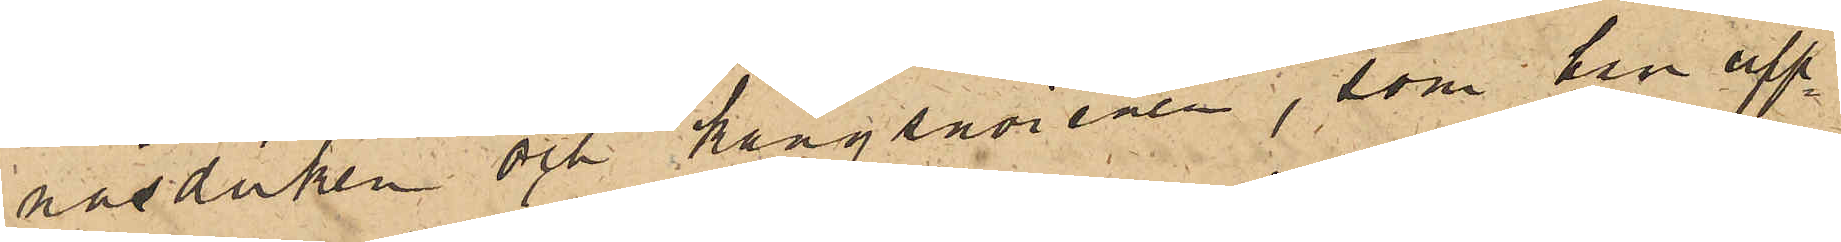näsduken och kängsnören, som han upp¬
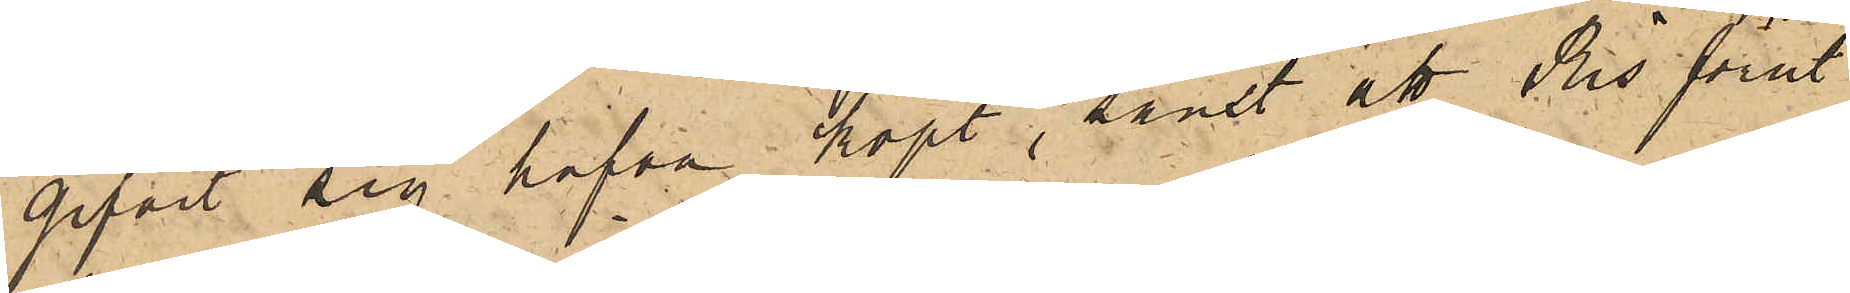gifvit sig hafva köpt, samt att Ris förut
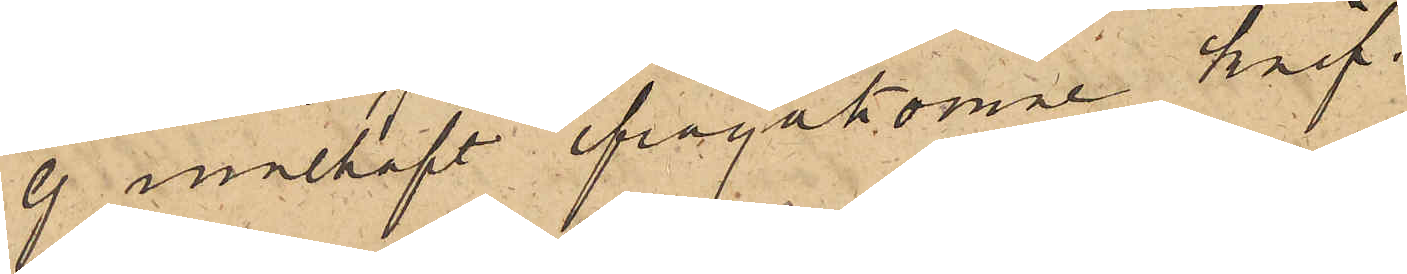ej innehaft ifrågakomne knif.
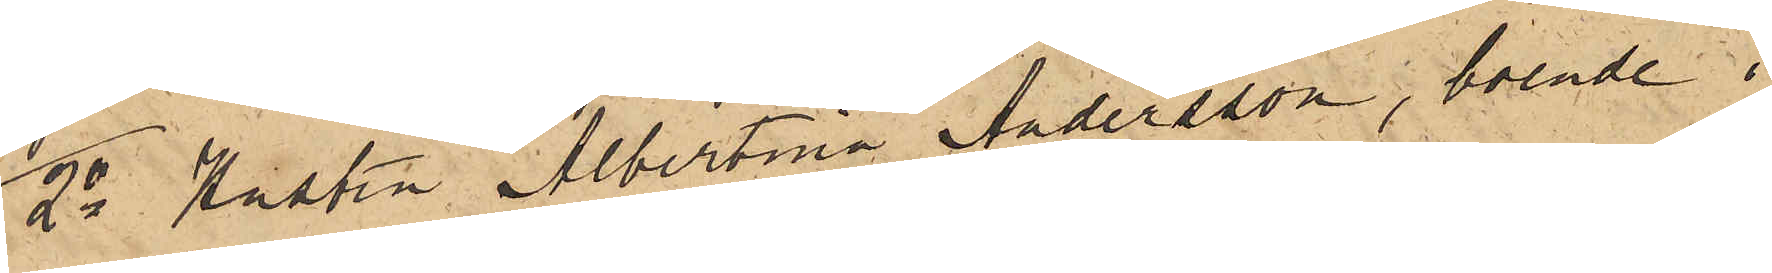2o Hustru Albertina Andersson, boende i
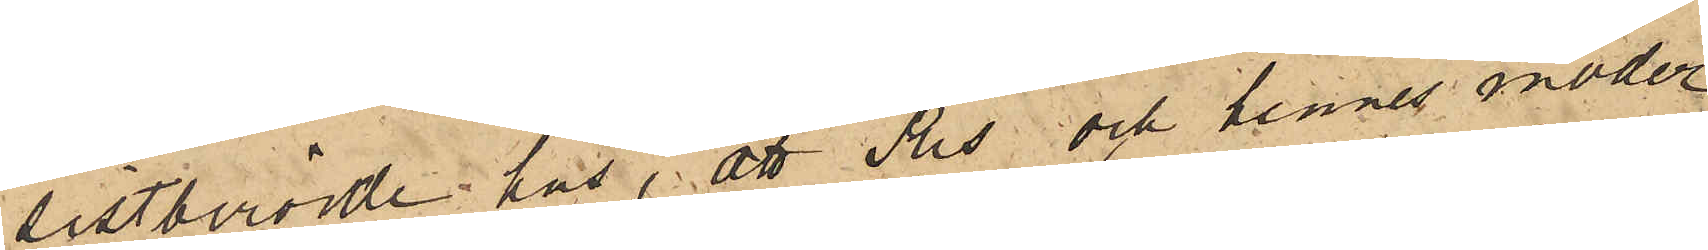sistberörde hus, att Ris och dennes moder
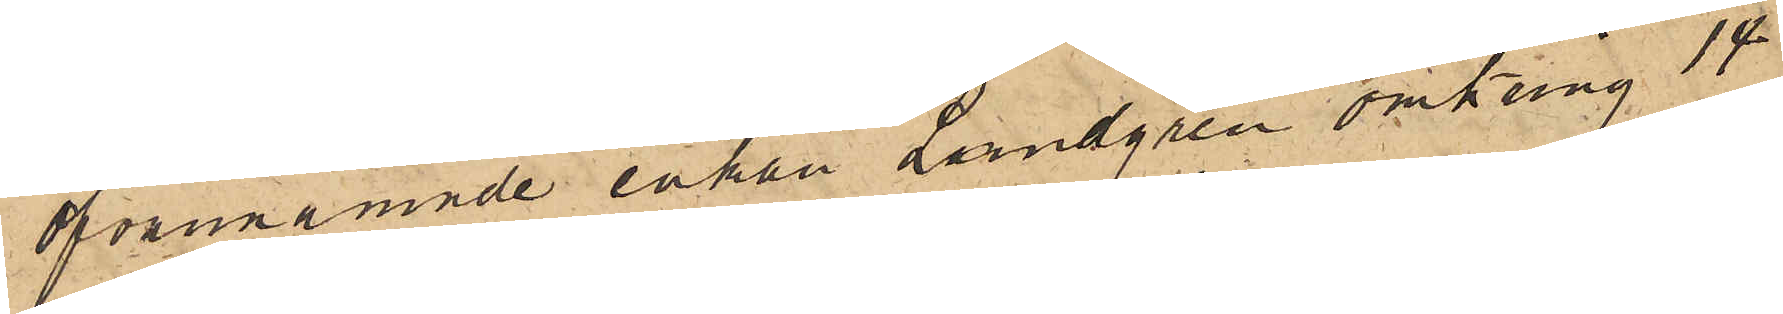ovannämnde enkan Lundgren omkring 14
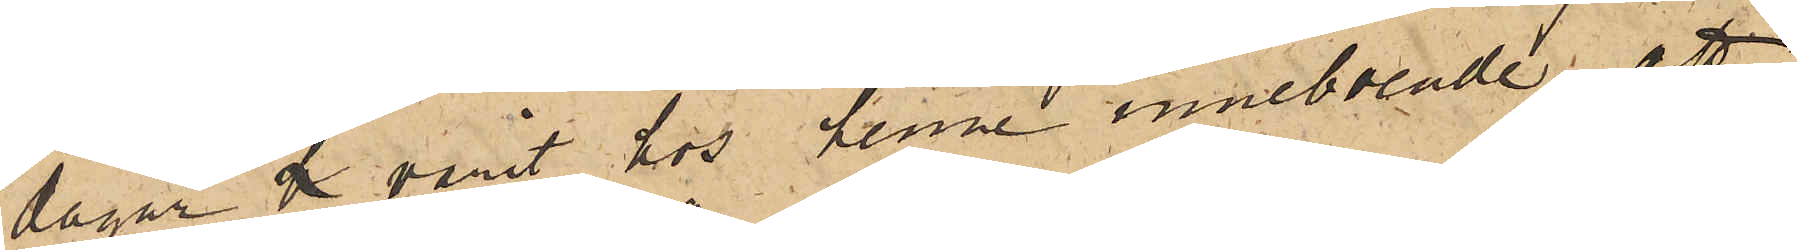dagar de varit hos henne inneboende; att
